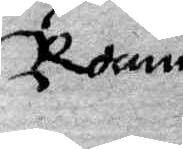Rocum
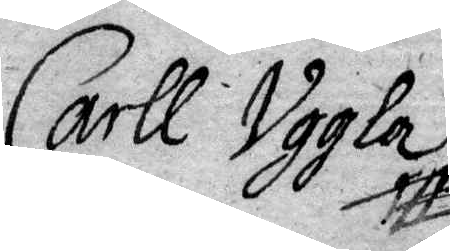Carll Uggla
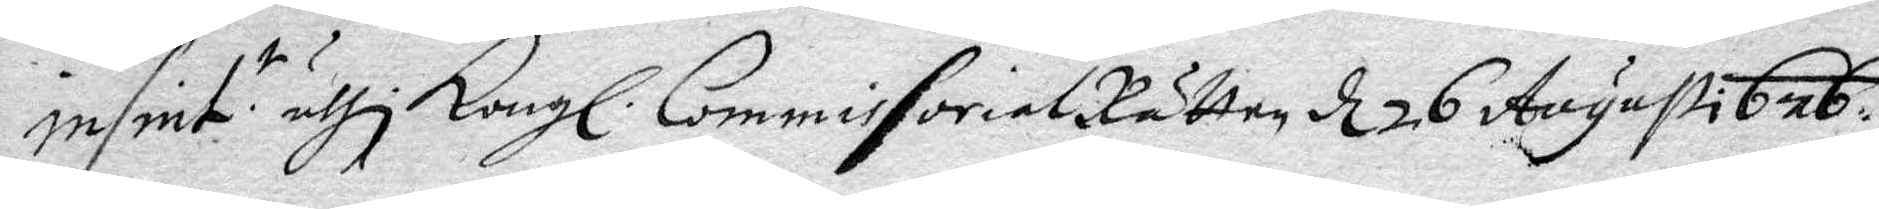infint. s uthi Kongl. CommissorialRätten d 26 Augusti 676.
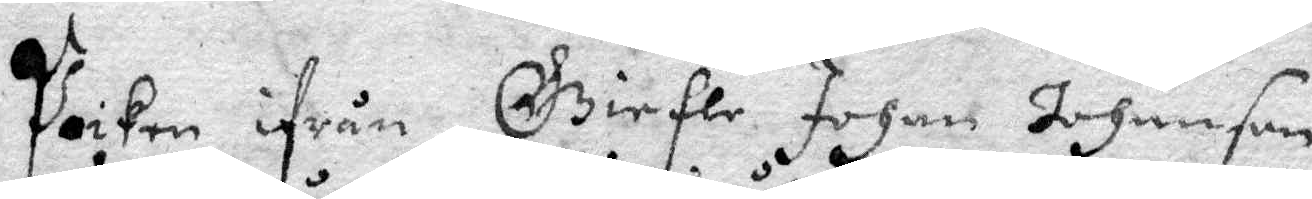Poiken ifrån Giefle Johan Johanson
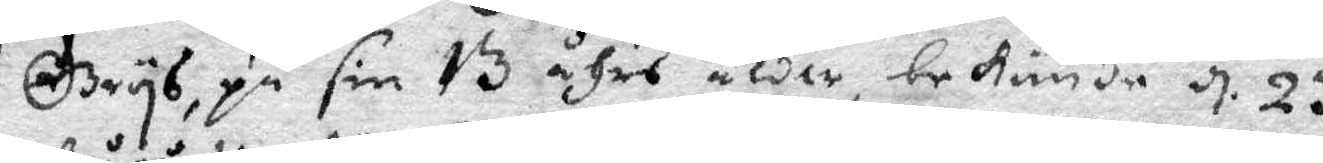Grys, på sin 13 åhrs ålder, bekiände d 23
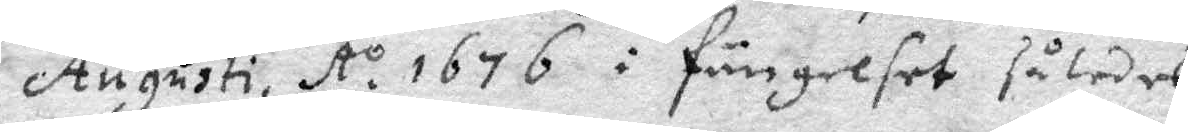Augusti, Ao 1676 i fängelset således, 
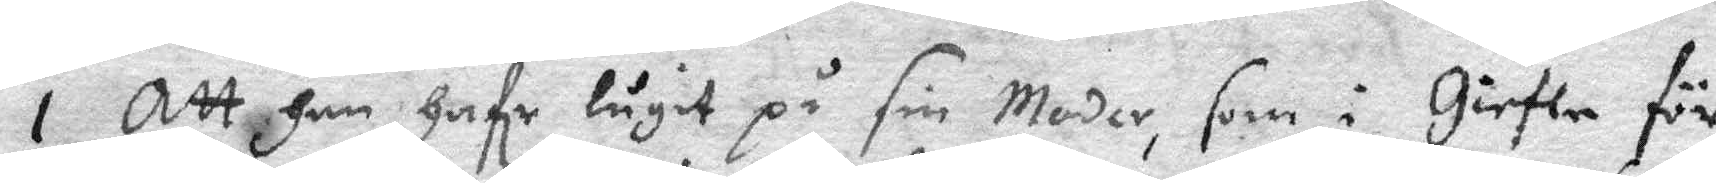1 Att han Hafe lugit på sin Moder, som i Giefle för
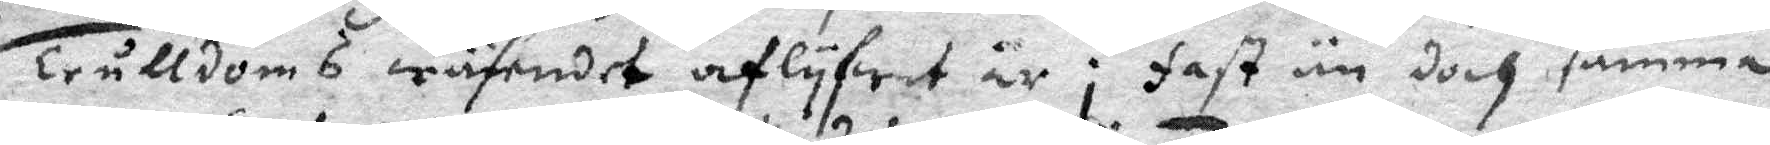Trulldoms wäsendet af lyfwat är; fast än doch samma
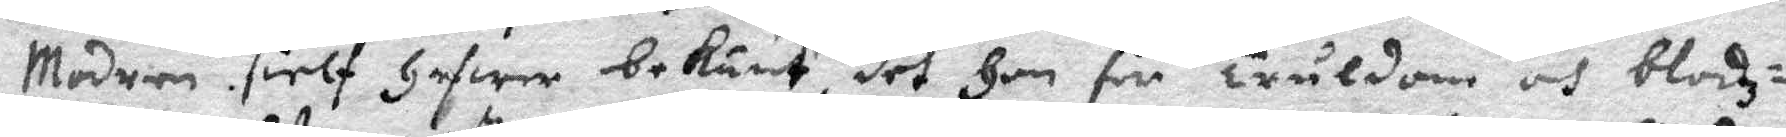Modren sielf hafwer bekänt, det Hon för Truldom och blodz¬
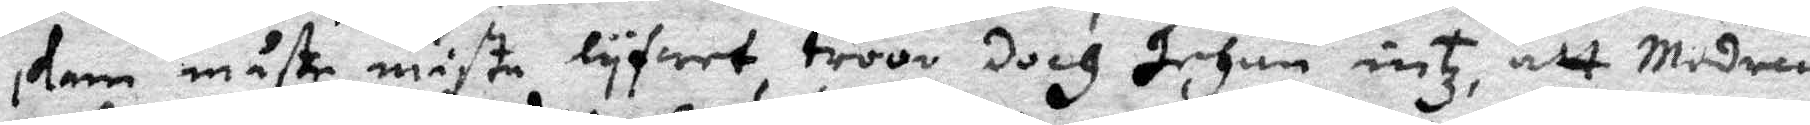skam måste måste lyfwet, troor doch Johan intz, att Modren
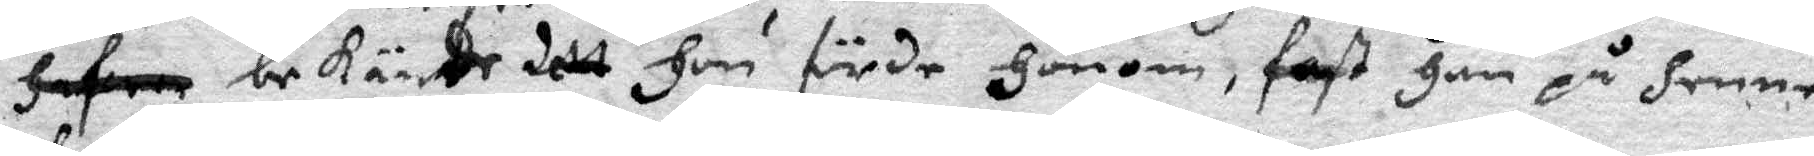bekände dett Hon förde Honom, fast Han på Henne
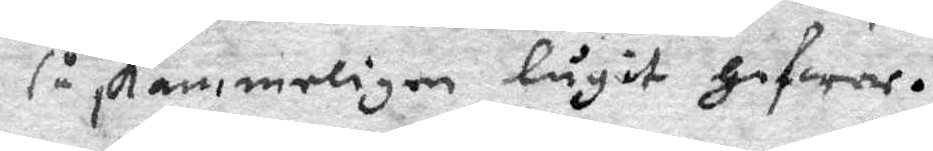så skammeligen lugit Hafwer.
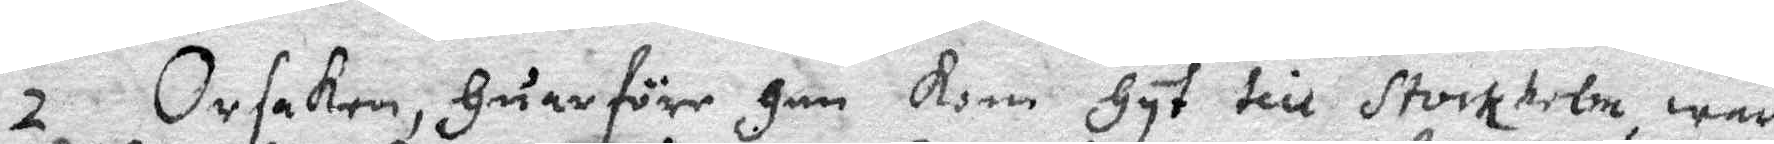2 Orsaken, Huarföre Han Kom Hyt till Stockholm, war
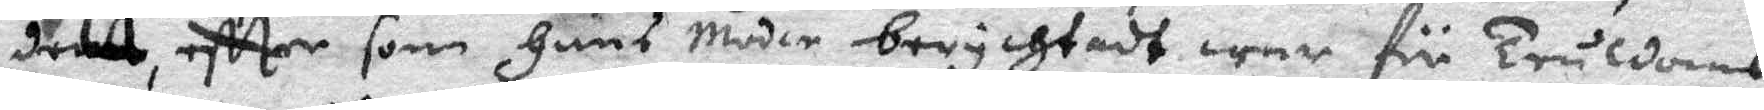dett, effter som Hans Moder berychtadt war för truldoms¬
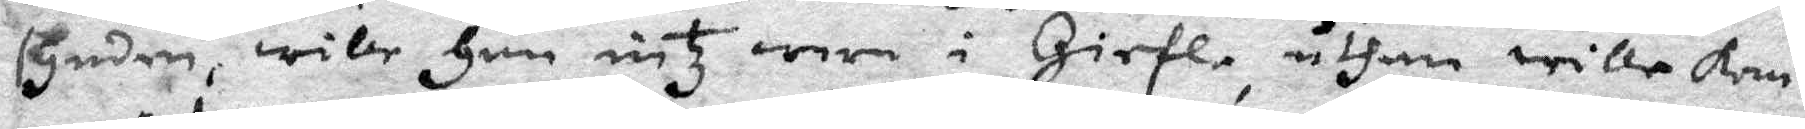synden, wile Han intz wara i Giefle, uthan wille Kom¬
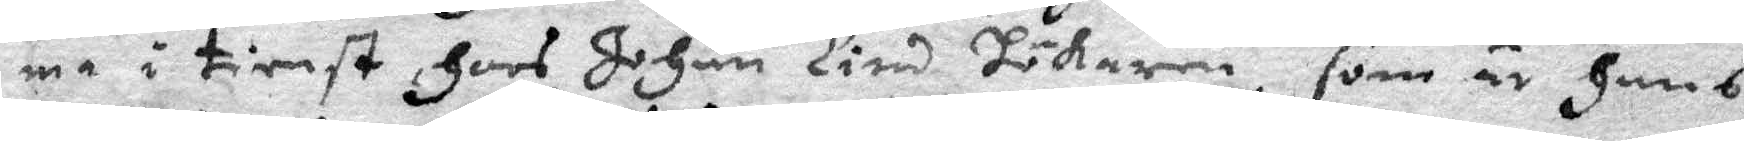ma i tienst Hoos Johan Lind Hökaren, som är Hans
